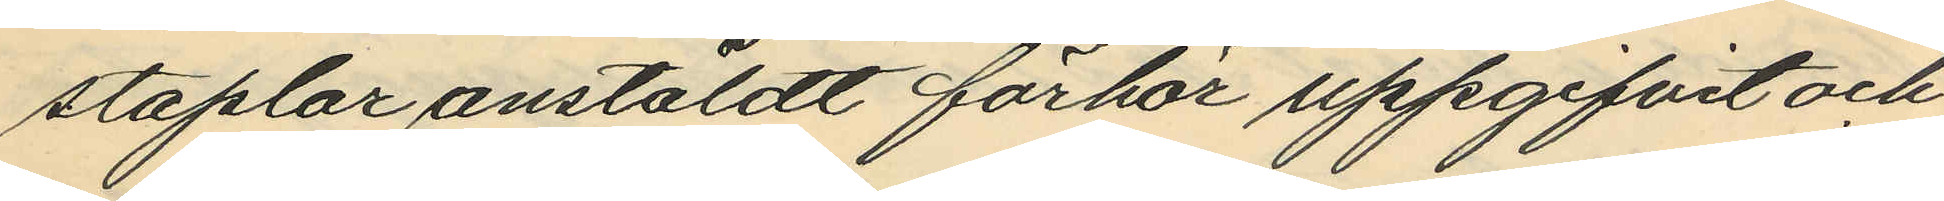staplar anstäldt förhör uppgifvit och
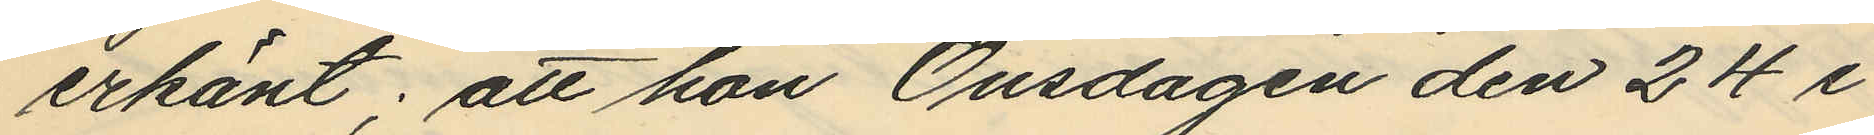erkänt; att hon Onsdagen den 24 i
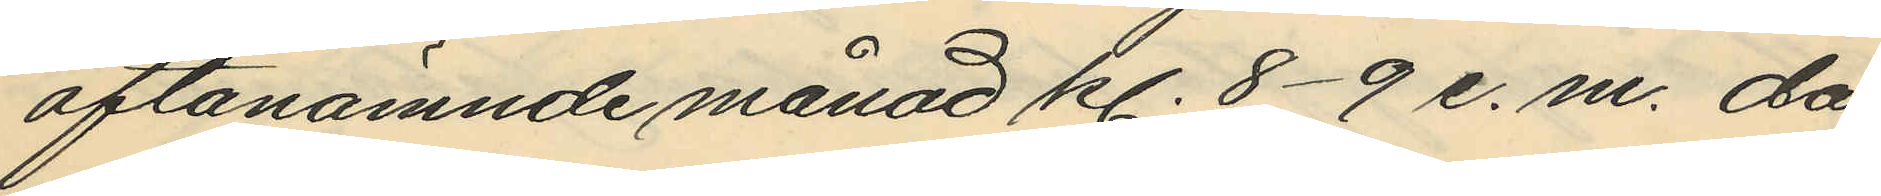oftanämnde månad kl. 8-9 e.m. då
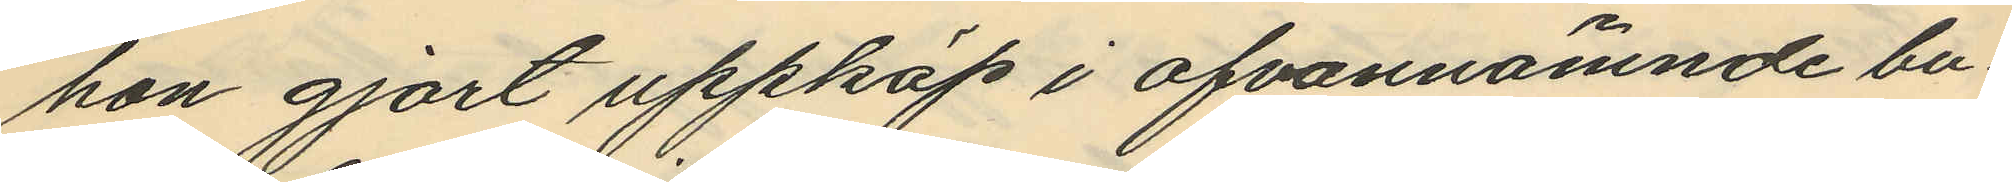hon gjort uppköp i ofvannämnde bu¬
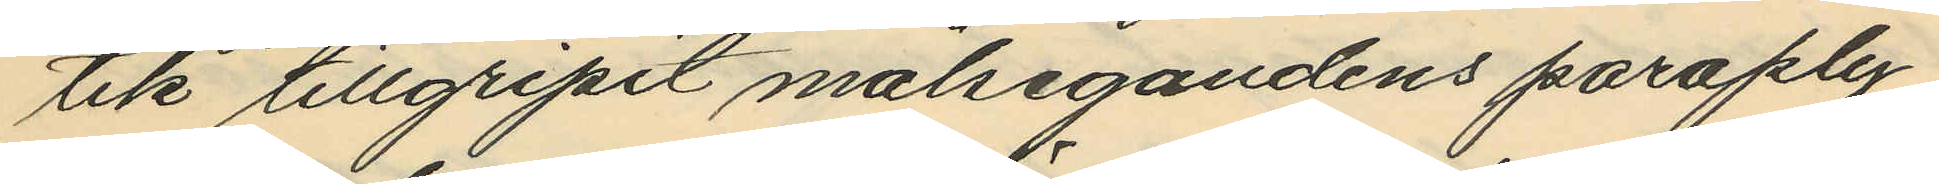tik tillgripit målsegandens paraply,
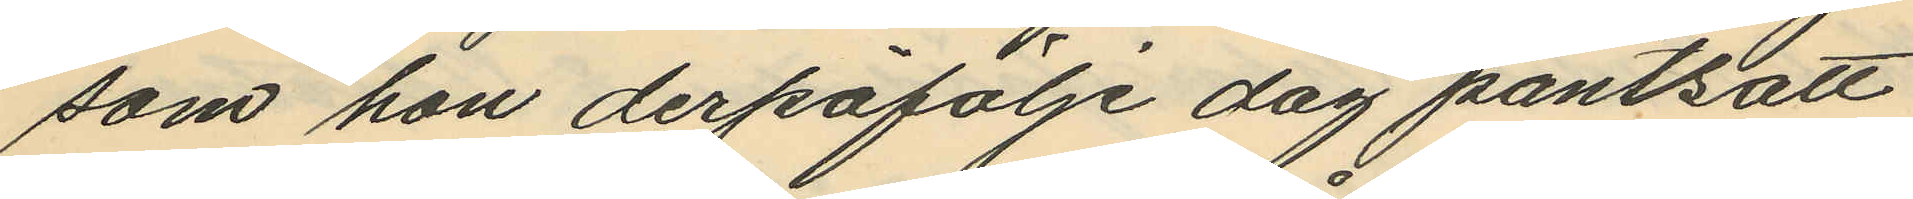som hon derpåfölje dag pantsatt
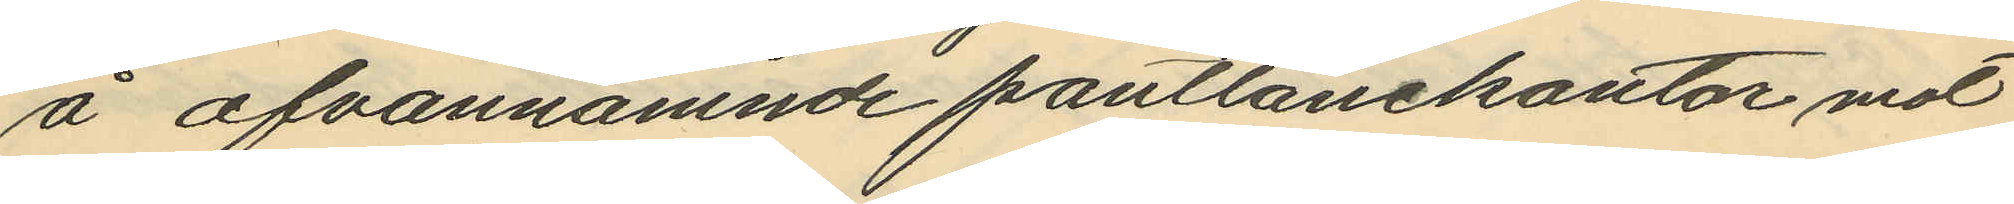å ofvannämnde pantlånekontor mot
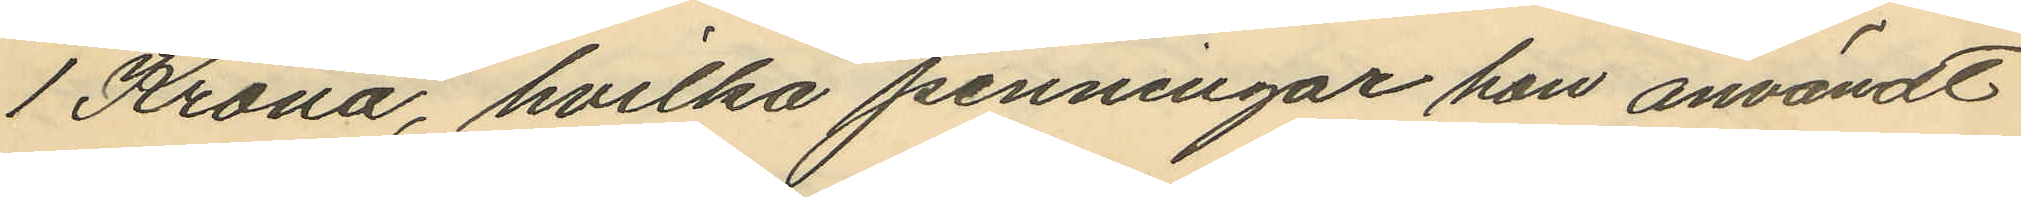1 Krona, hvilka penningar hon användt
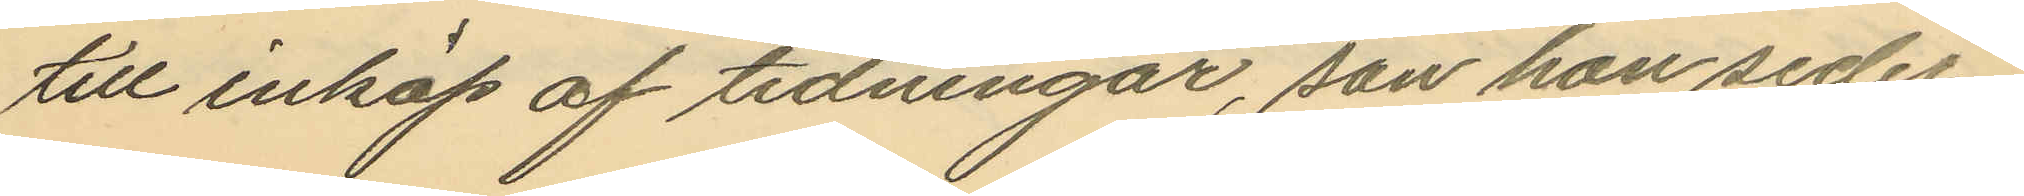till inköp af tidningar, son han seder¬
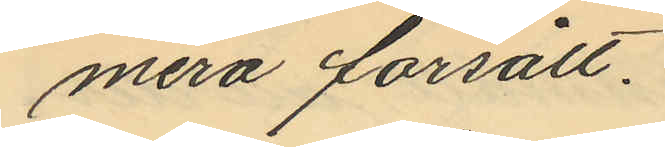mera försålt.
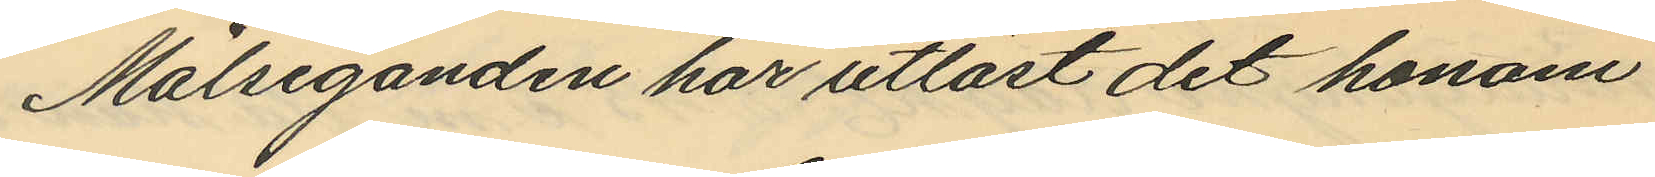Målseganden har utlöst det honom
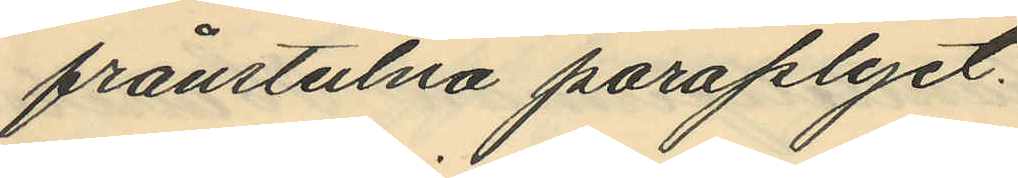frånstulna paraplyet.
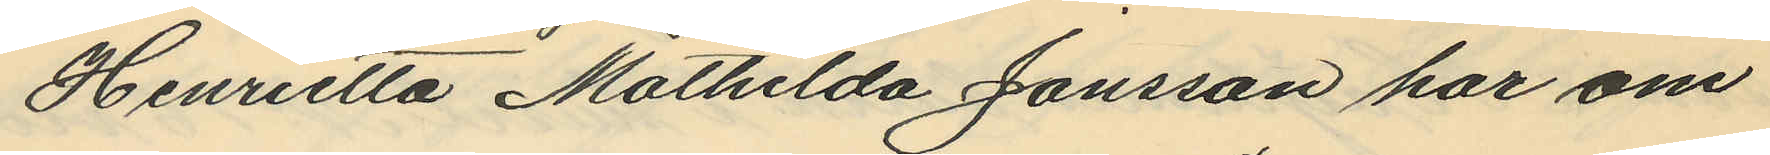Henrietta Mathilda Jonsson har om
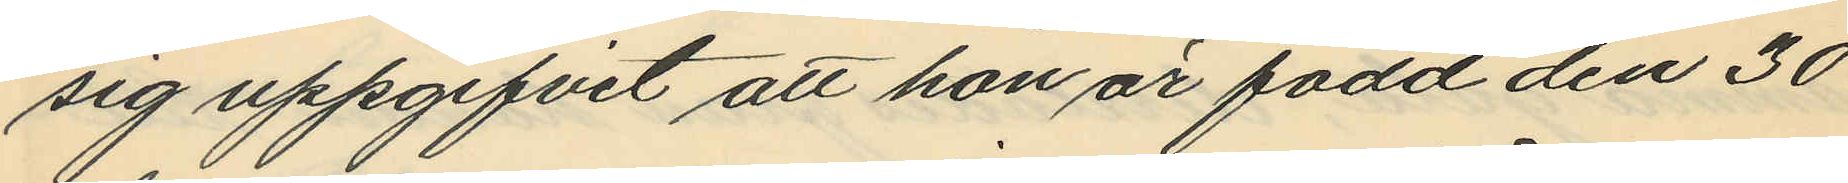sig uppgifvit att hon är född den 30
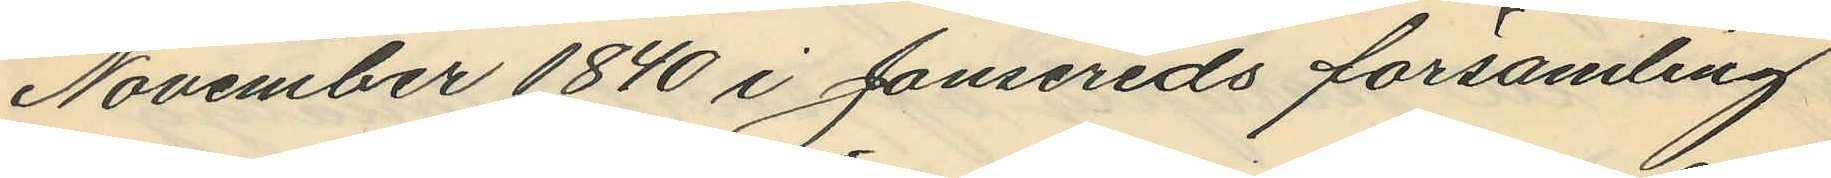November 1840 i Jonsereds församling
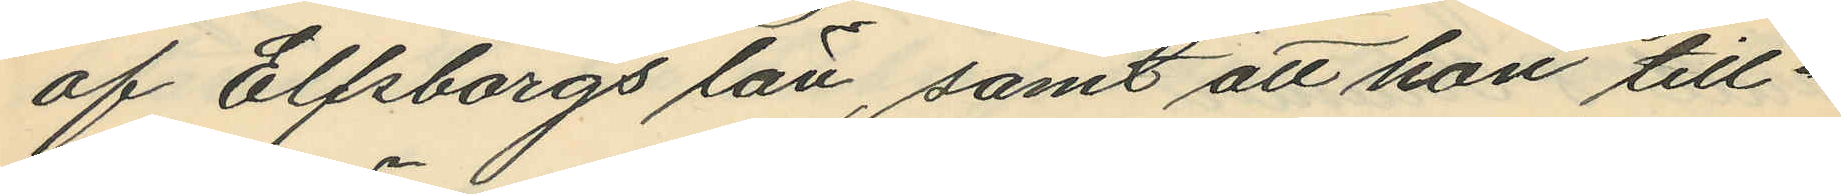af Elfsborgs län, samt att hon till¬
